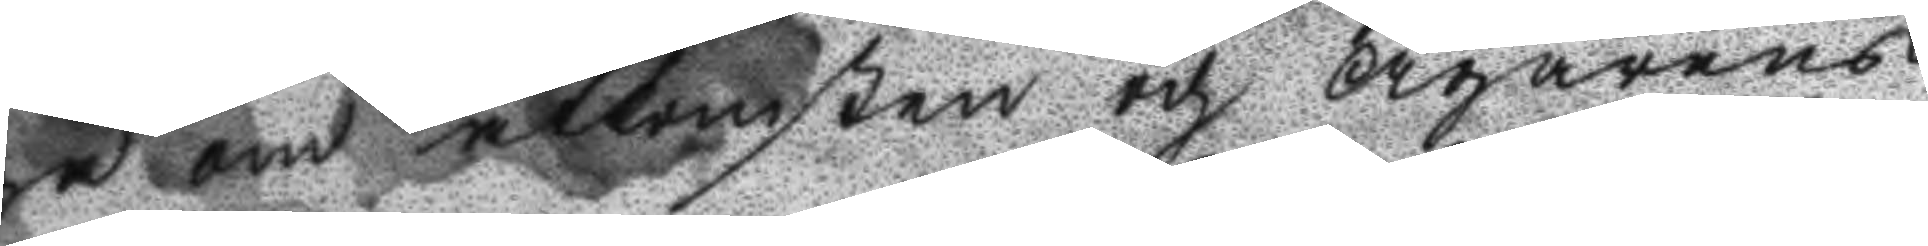ga om åtkomsten och Ägarens
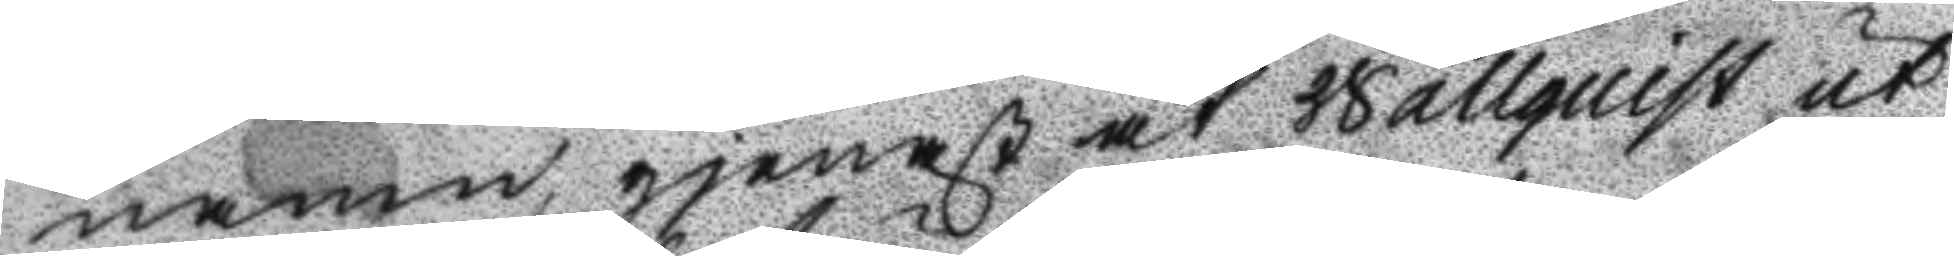namn, gjenast åt Wallquist ut
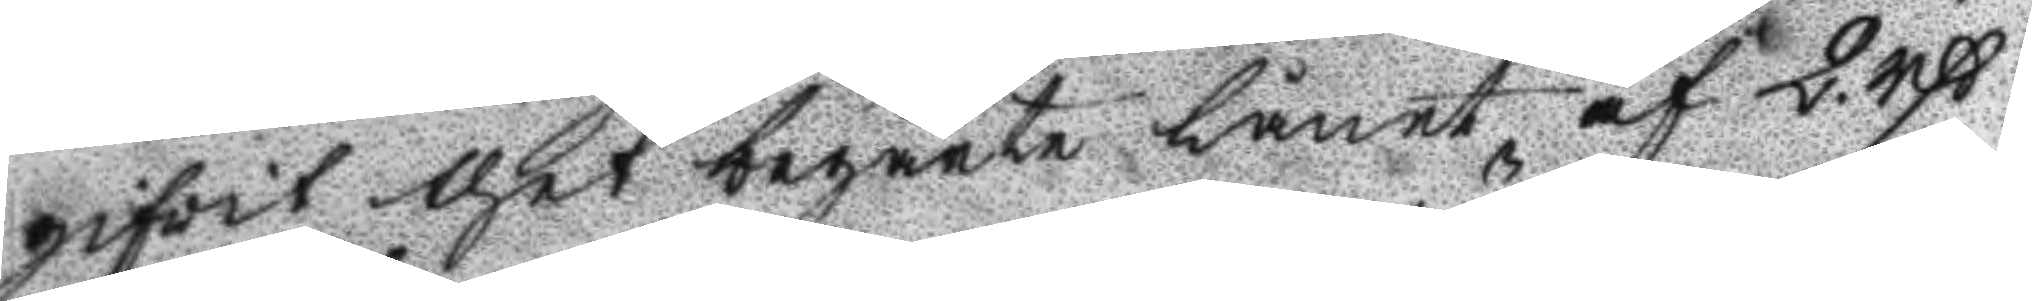gifwit thet begärte Lånet af 2 rßs
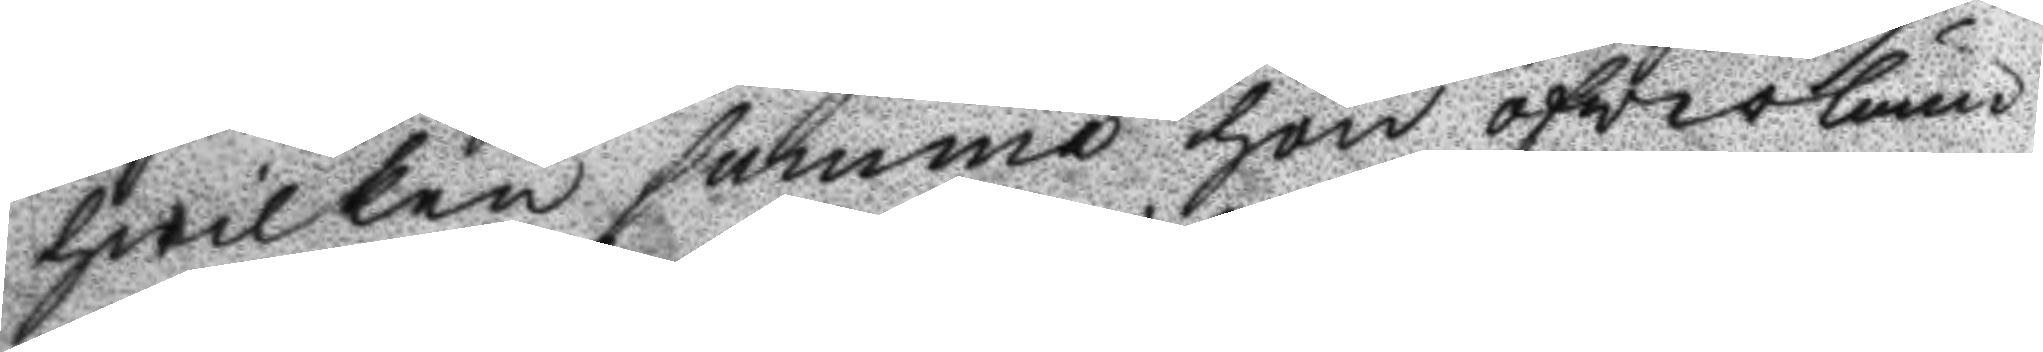hwilken summa hon öfverläm
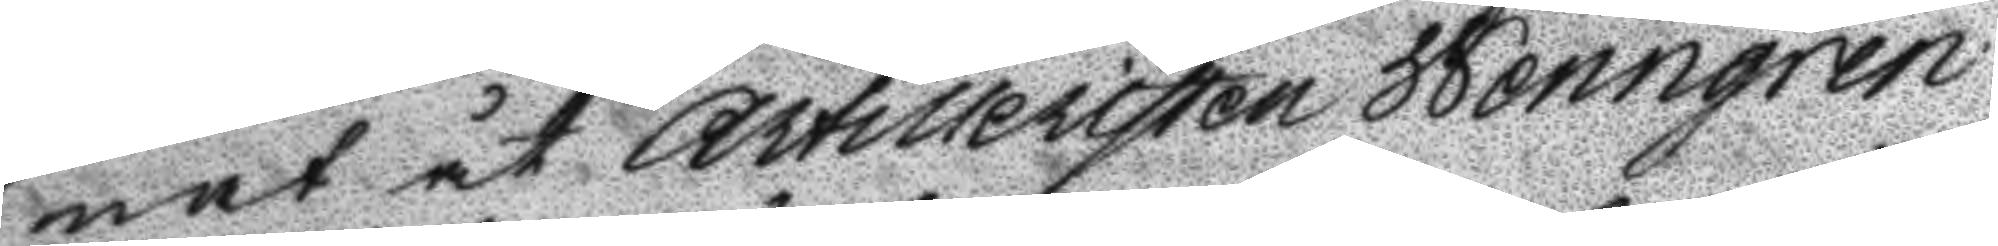nat åt Artilleristen Wenngren
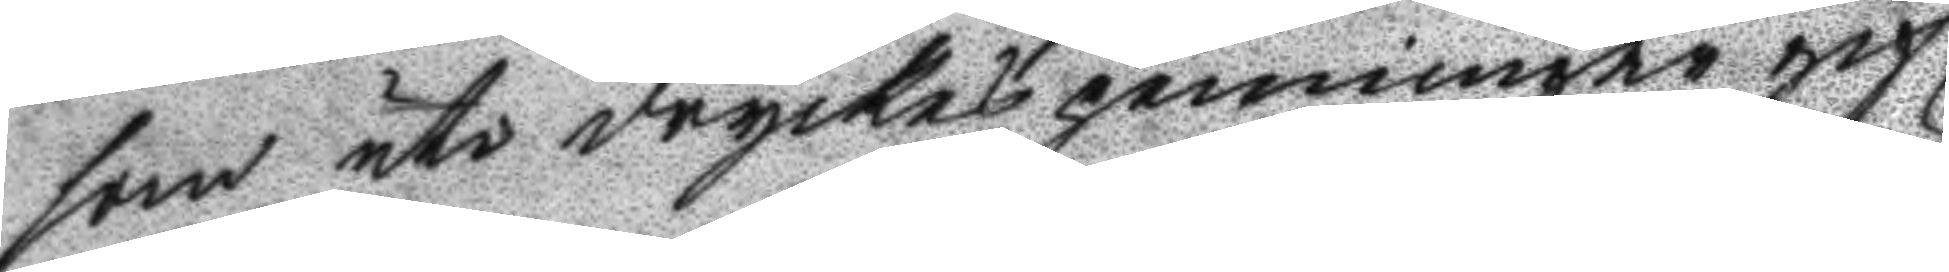som uti dryckenpenningar gif
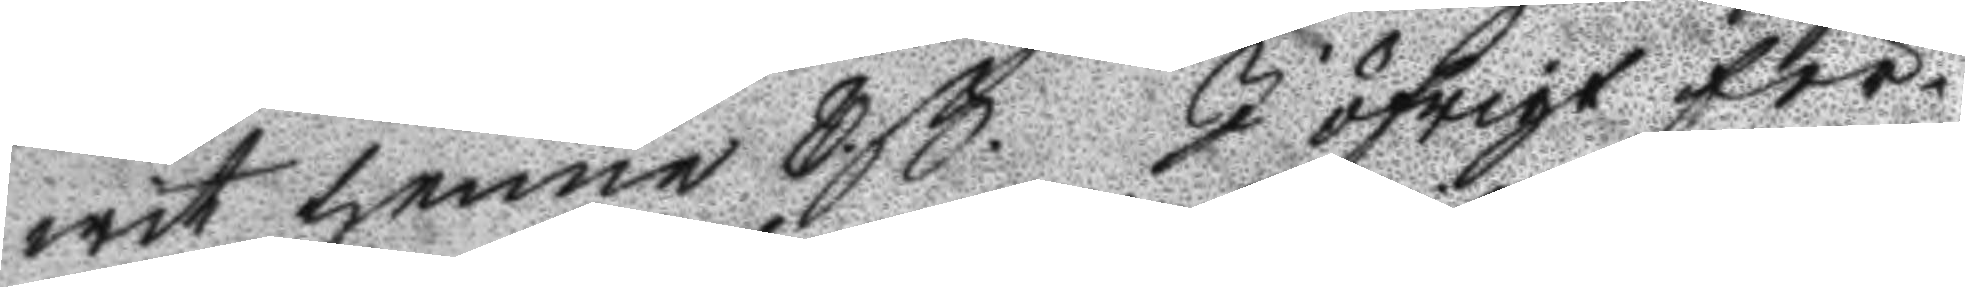wit henne 8 ß. I öfrigt för¬
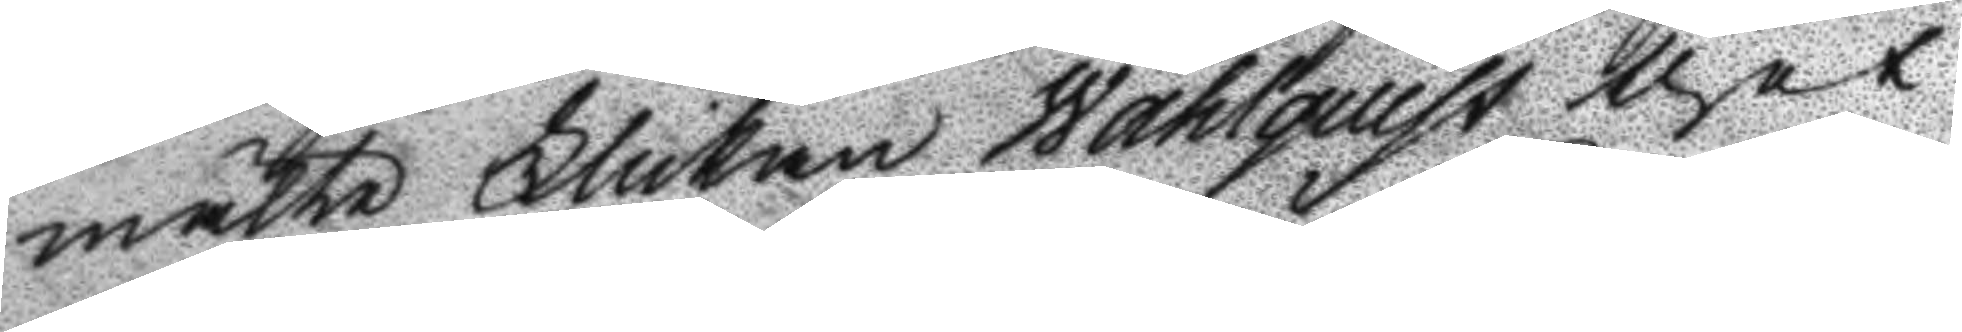mälte Flickan Wahlquist thet
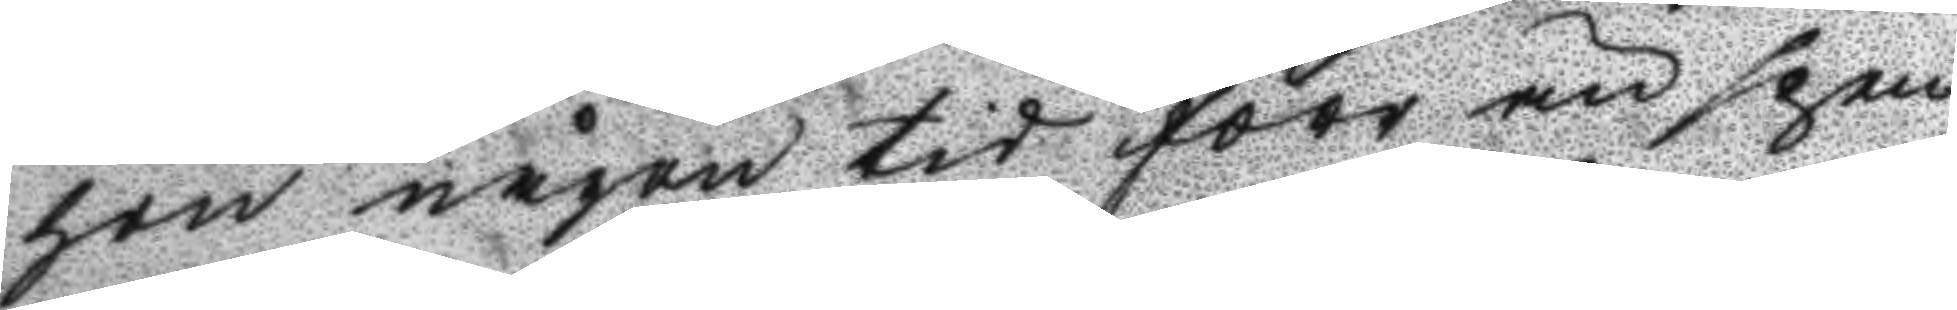hon någon tid förr än spen
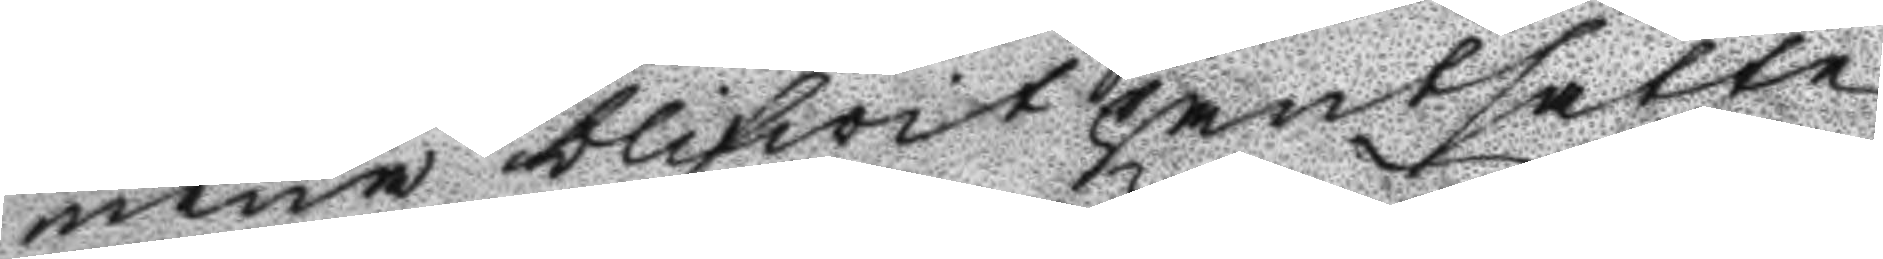nena blifwit pantsatte
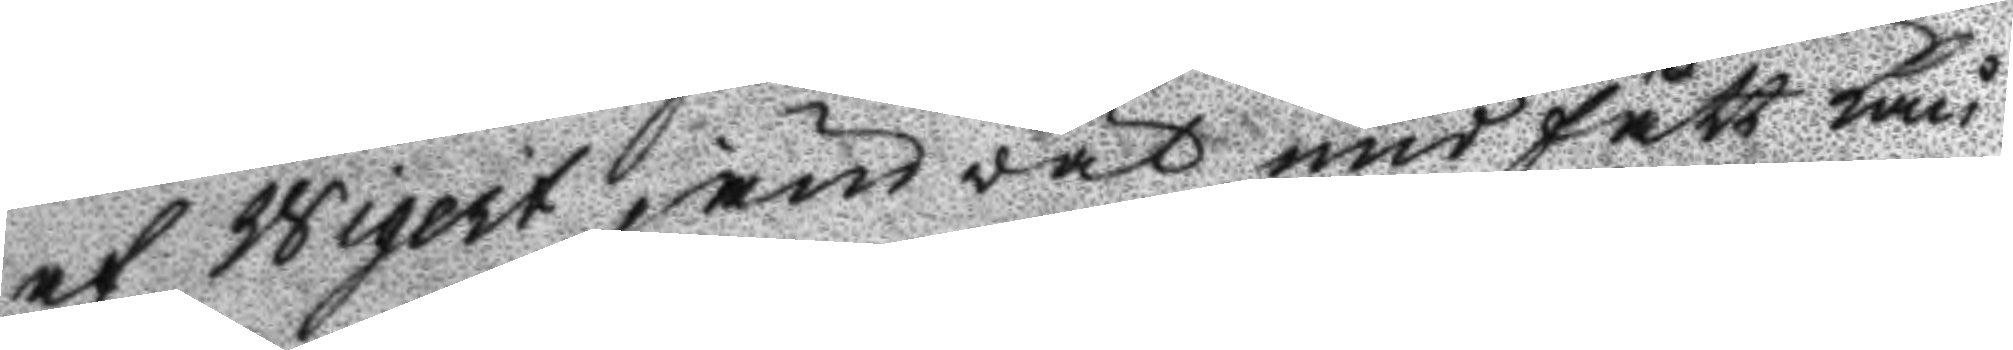af Wigert jämväl undfått Lån
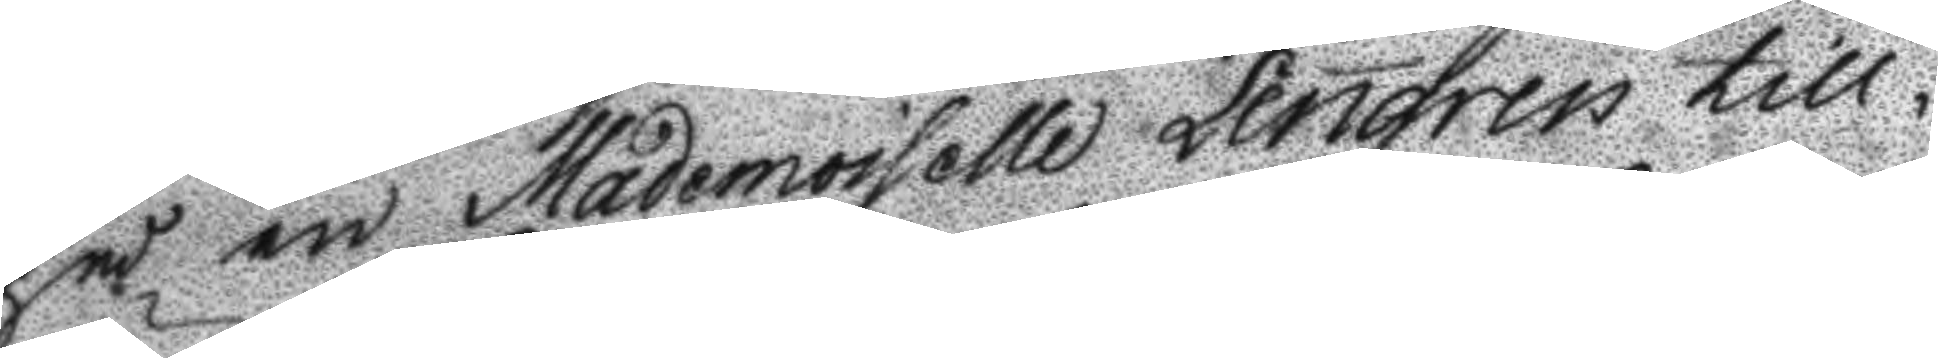på en Mademoiselle Lengren till¬
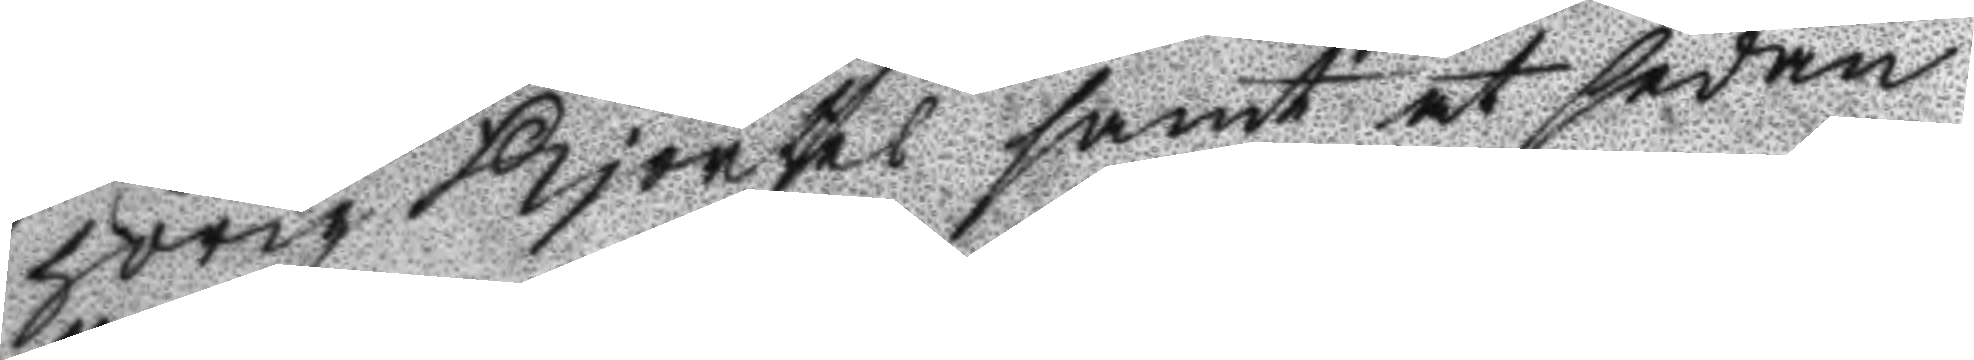hörig Kjorteö samt at sedan
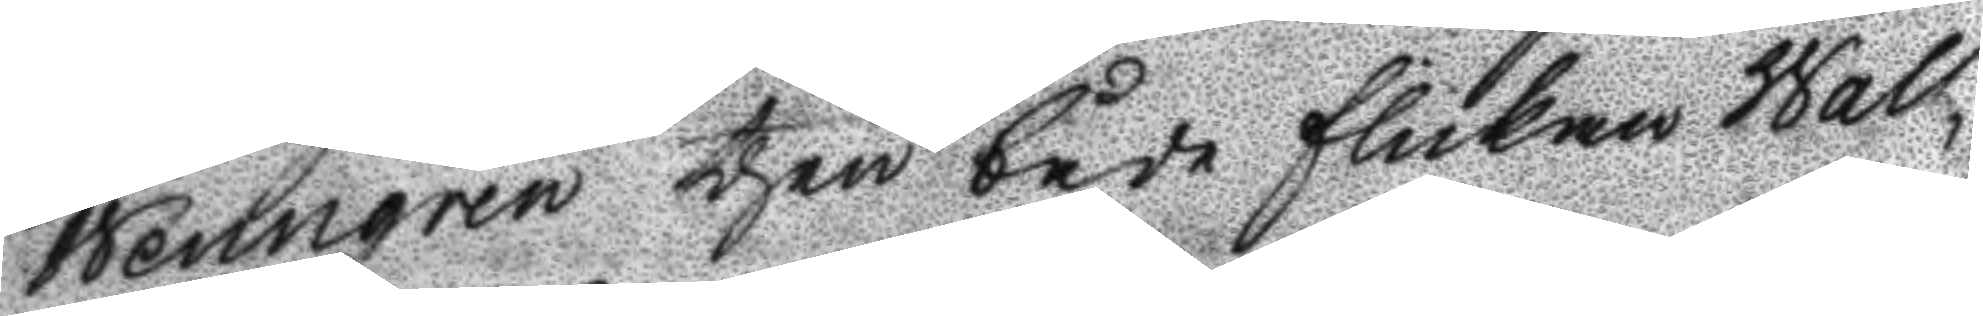Wenngren then både flickan Wall¬
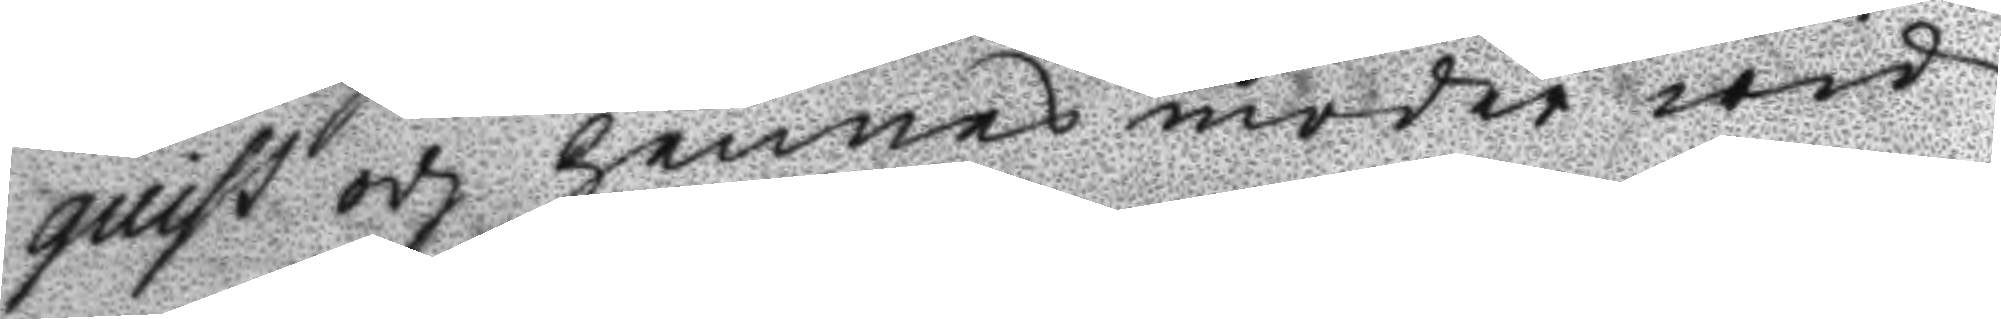quist och hennes moder wid
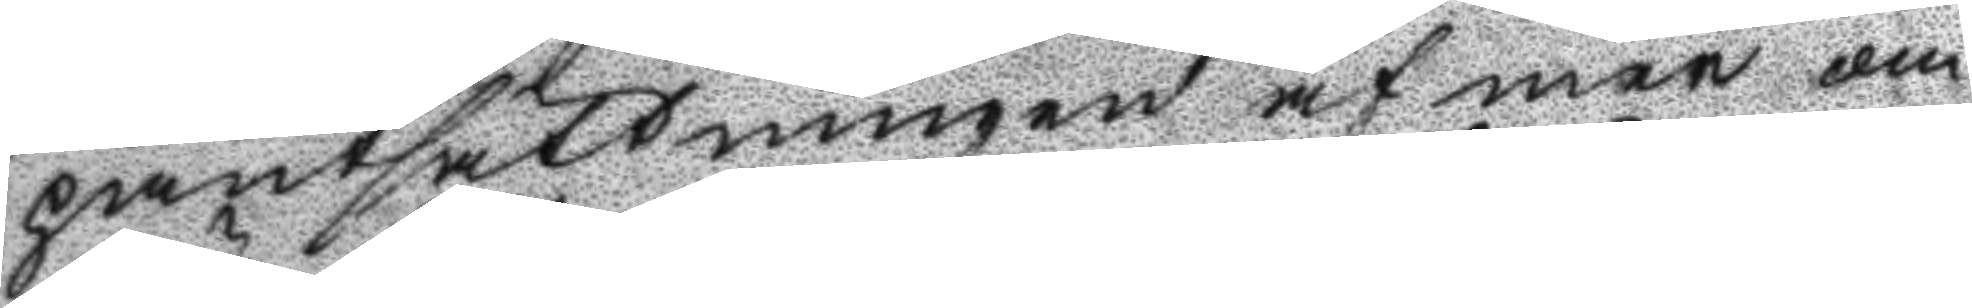pantsättningen af mer om
